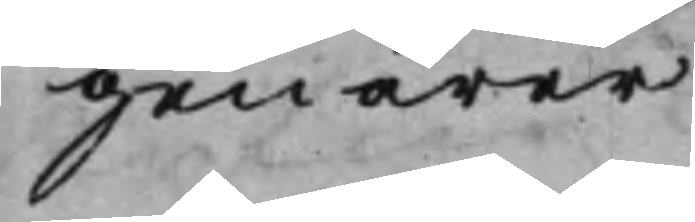genärer
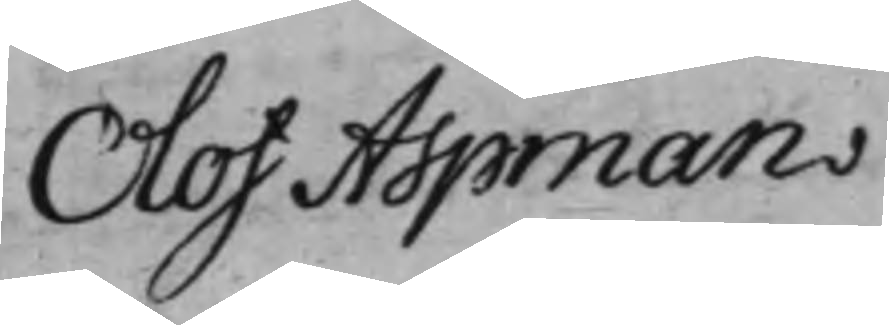Olof Aspman
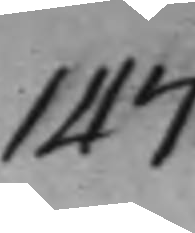147
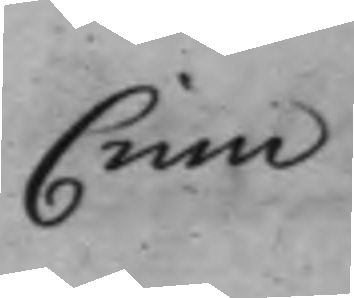Crim
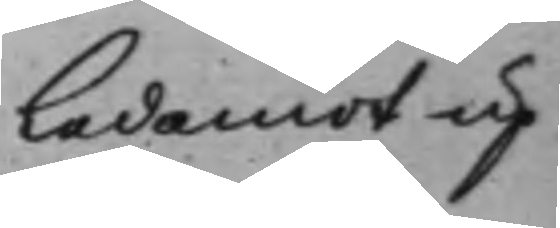Ledamöt up¬
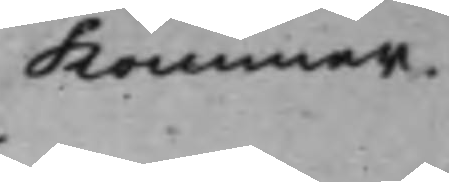kommer.
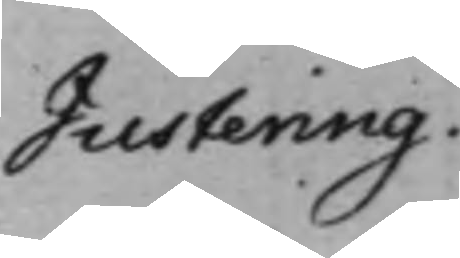Justering.
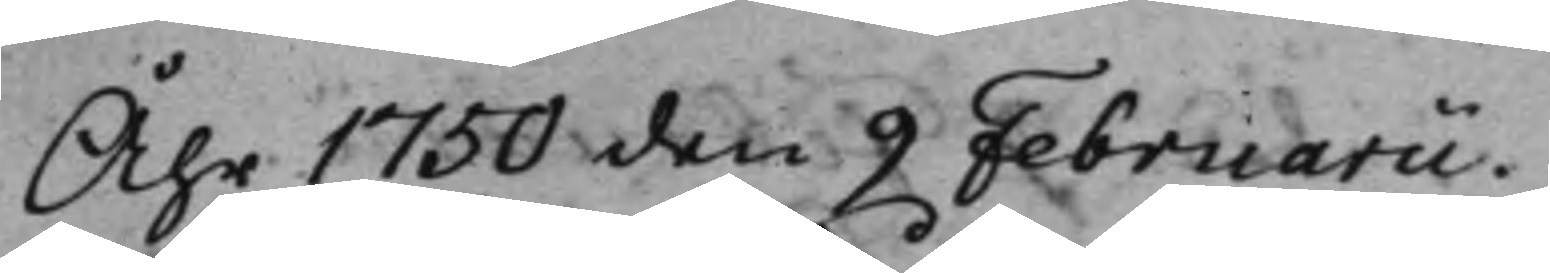Åhr 1750 den 9 Februarii.
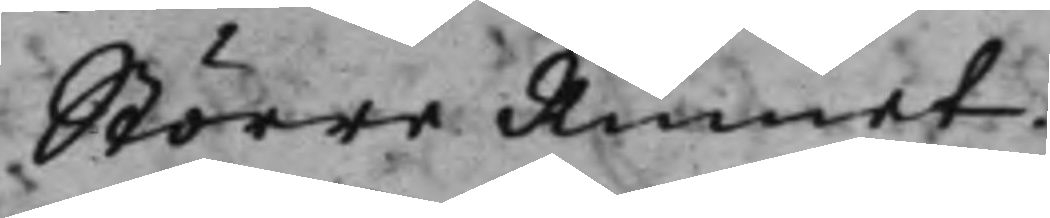Större Rumet.
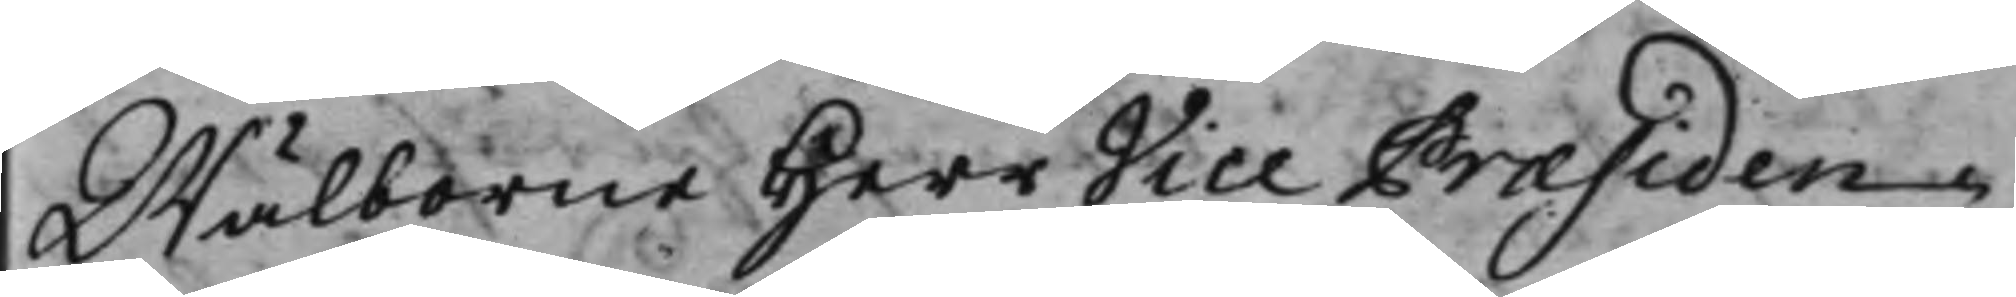Wälborne Herr VIce Præsiden¬
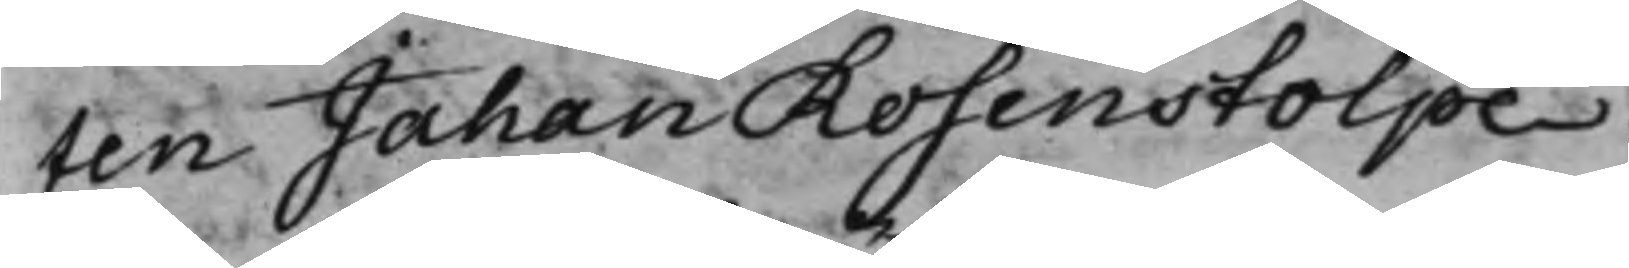ten Jahan Rosenstolpe.
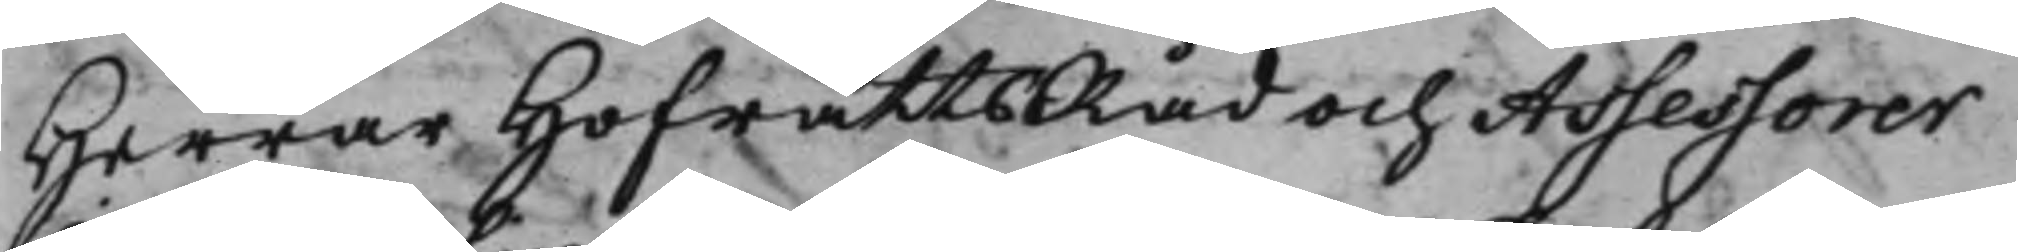Herrar HofrättsRåd och Assessorer
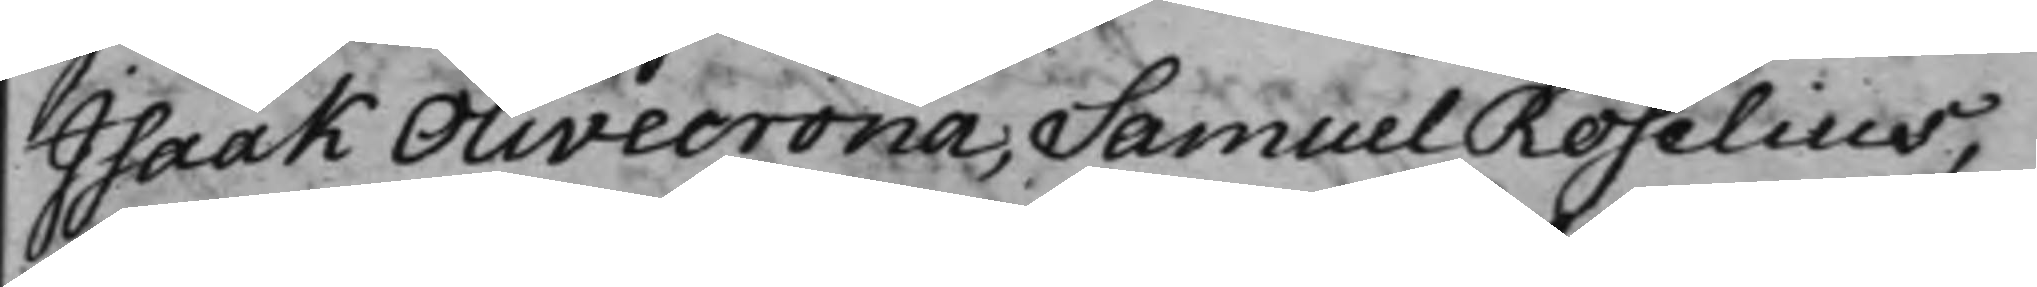Isaak Olivecrona, Samuel Roselius,
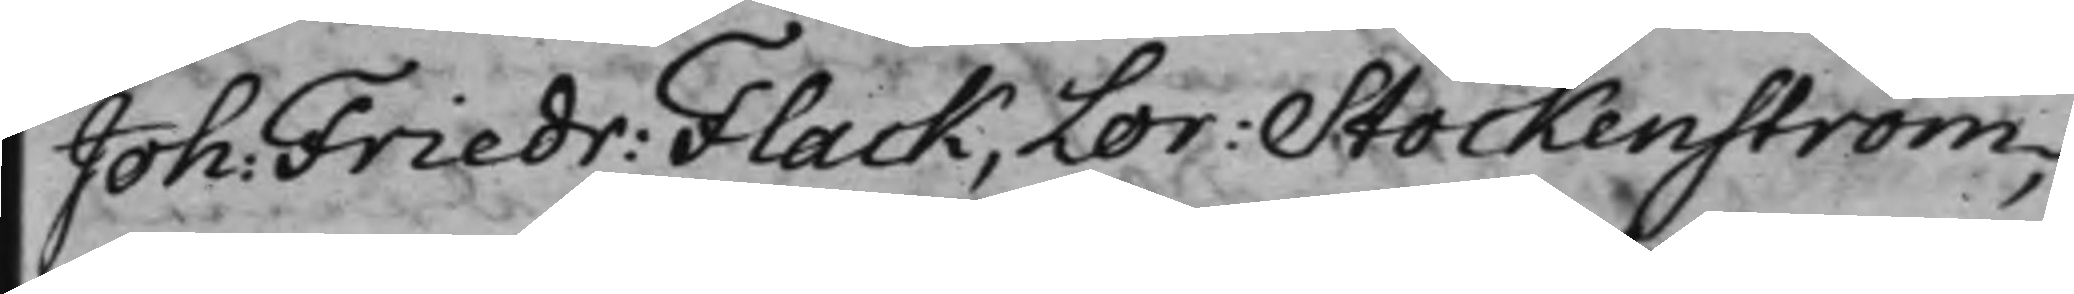Joh: Friedr: Flack, Lor: Stockenström,
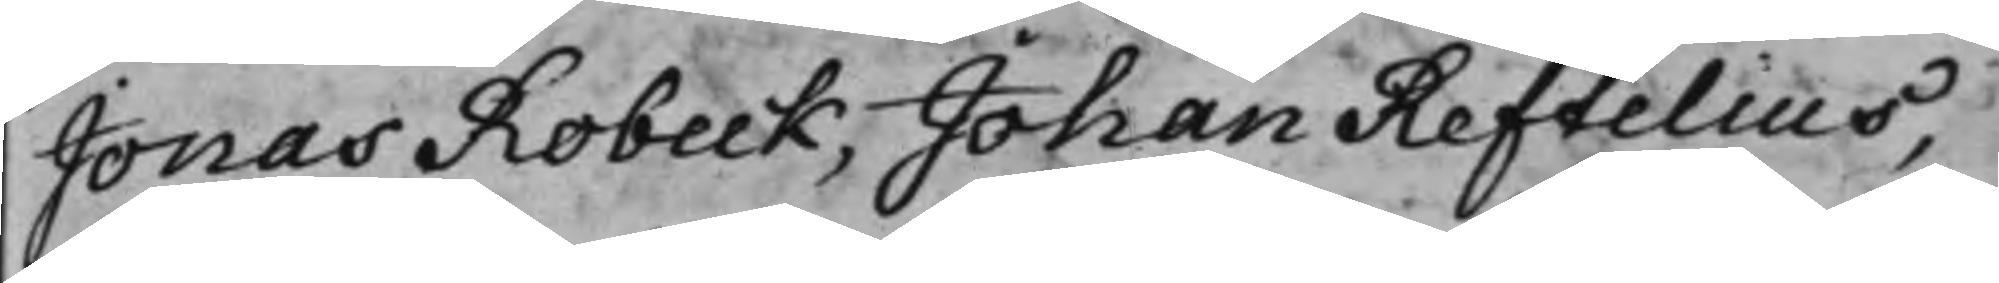Jonas Robeck, Johan Reftelius,
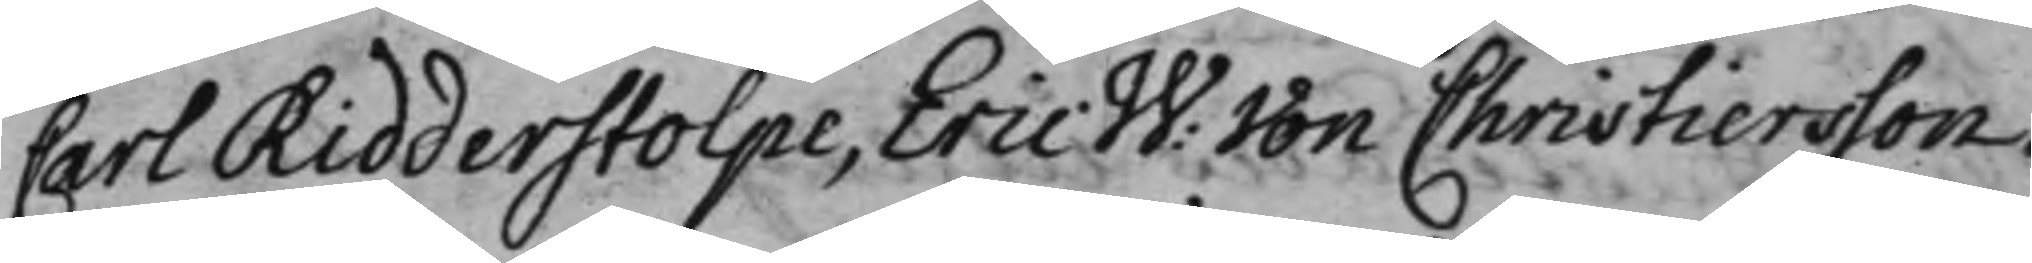Carl Ridderstolpe, Eric W: von Christiersson.
